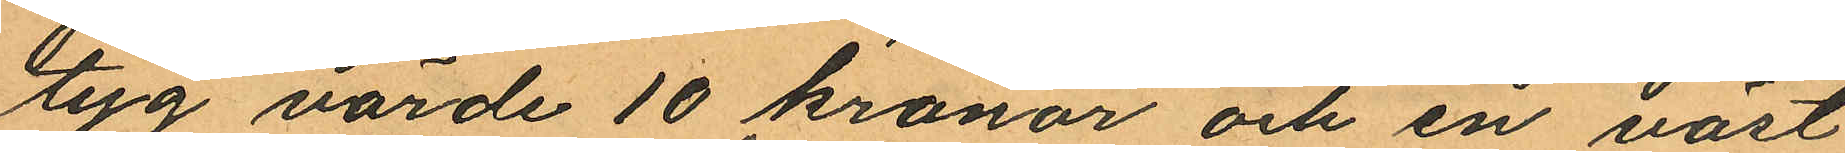tyg värde 10 kronor och en väst
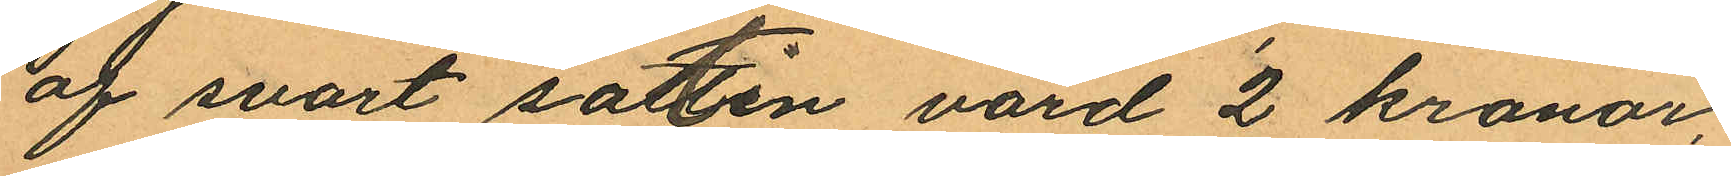af svart sattin värd 2 kronor,
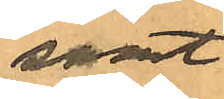samt
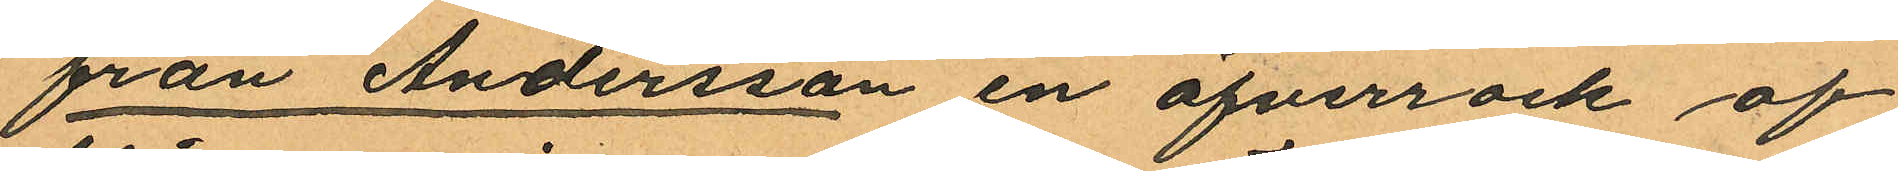från Andersson en öfverrock af
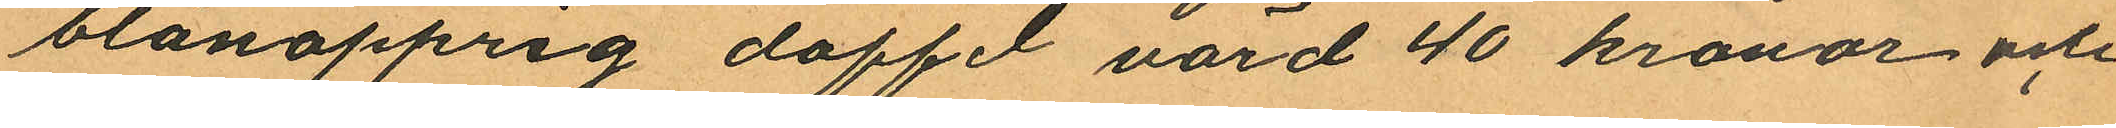blånopprig doffel värd 40 kronor och
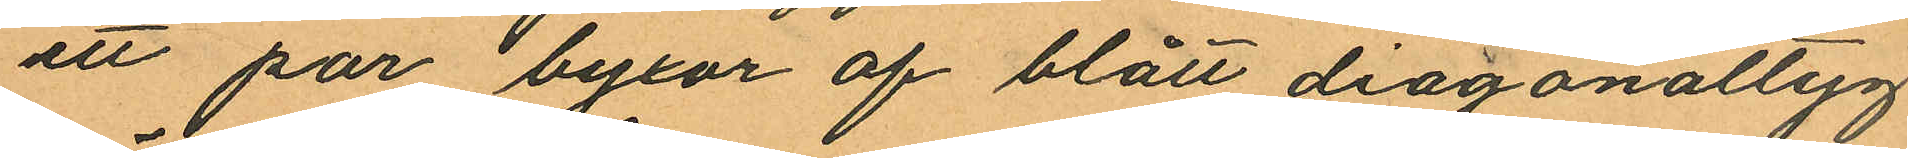ett par byxor af blått diagonaltyg
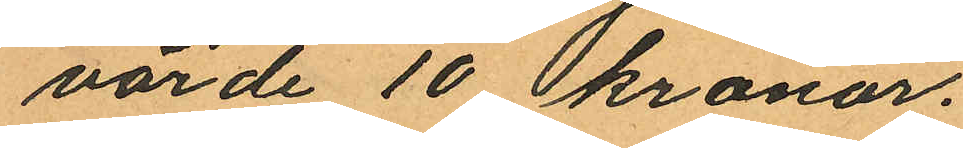värde 10 kronor.
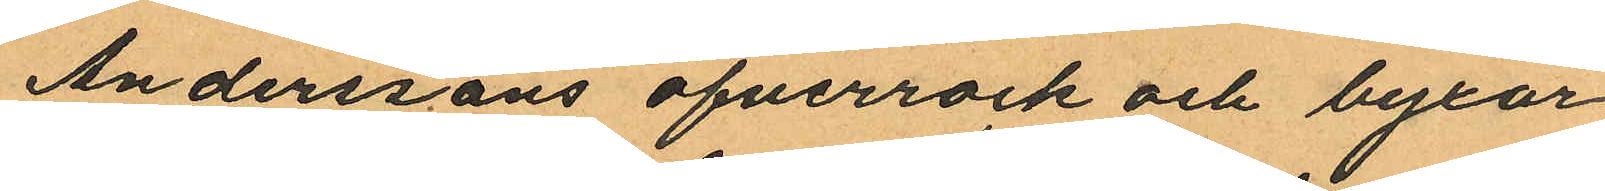Anderssons öfverrock och byxor
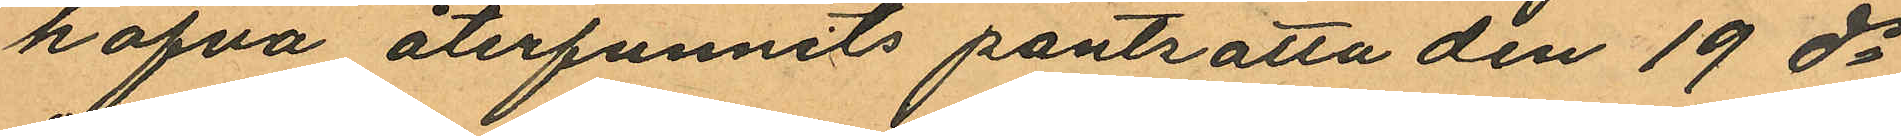hafva återfunnits pantsatta den 19 ds
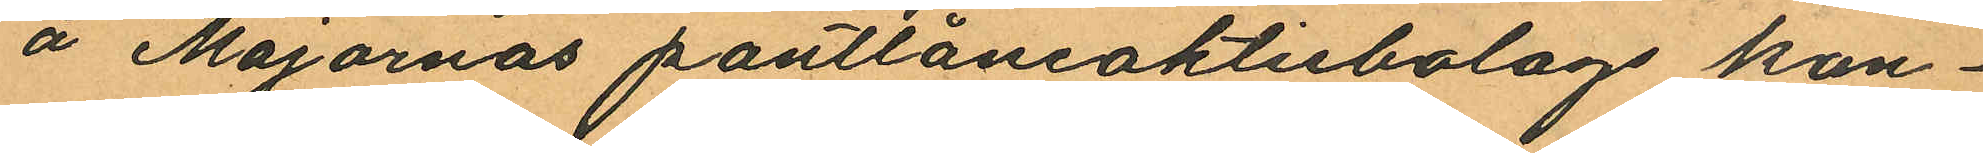å Majornas pantlåneaktiebolags kon¬
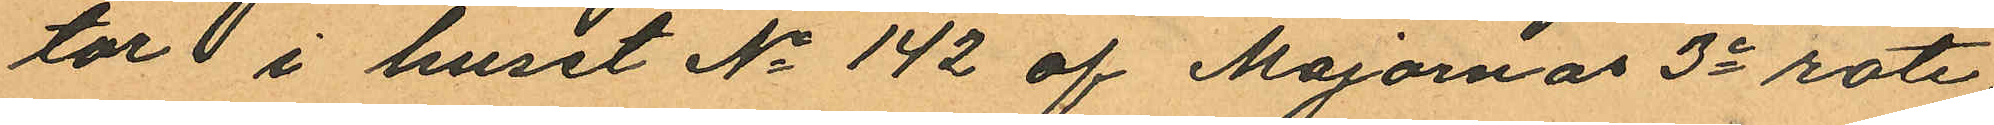tor i huset No 142 af Majornas 3e rote
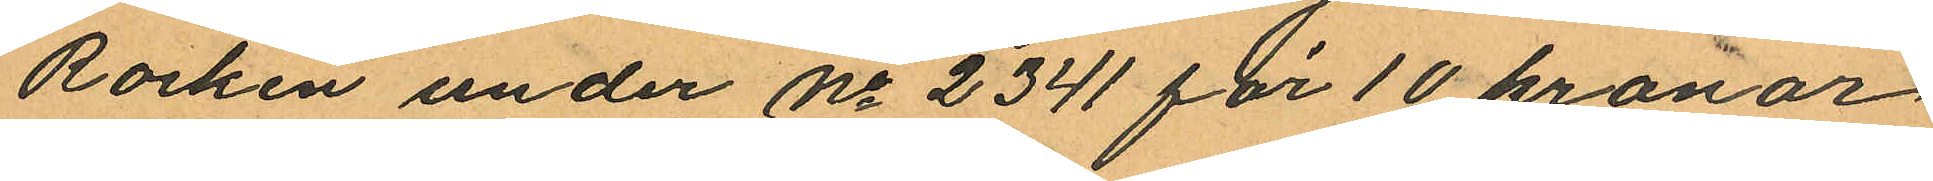Rocken under No 2341 för 10 kronor
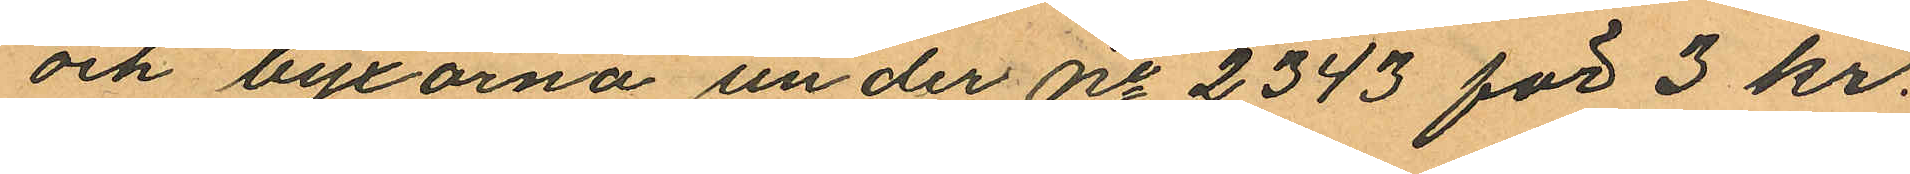och byxorna under No 2343 för 3 kr.
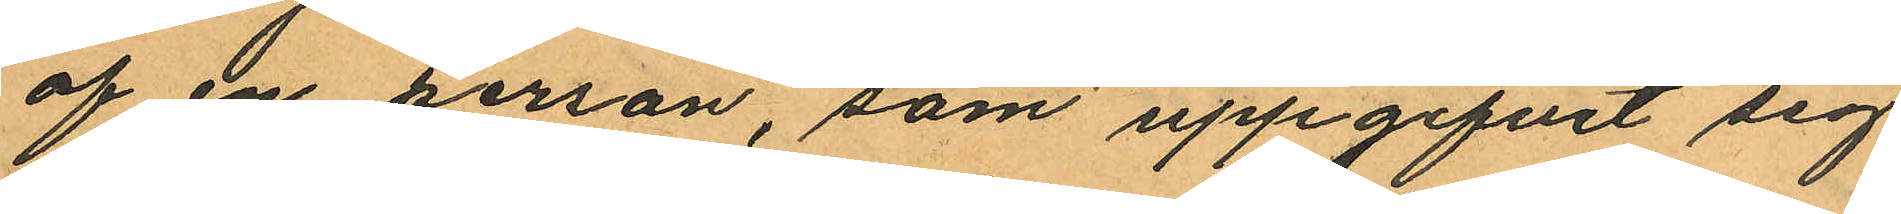af en person, som uppgifvit sig
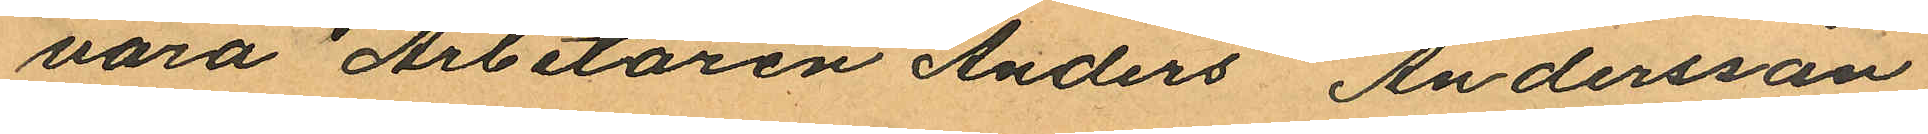vara Arbetaren Anders Andersson
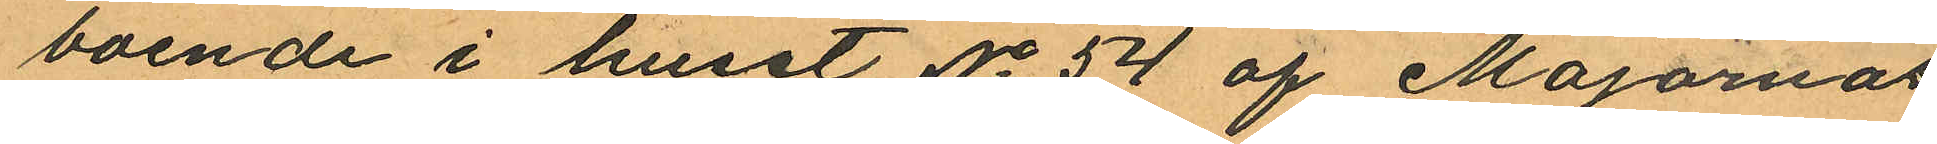boende i huset No 54 af Majornas
